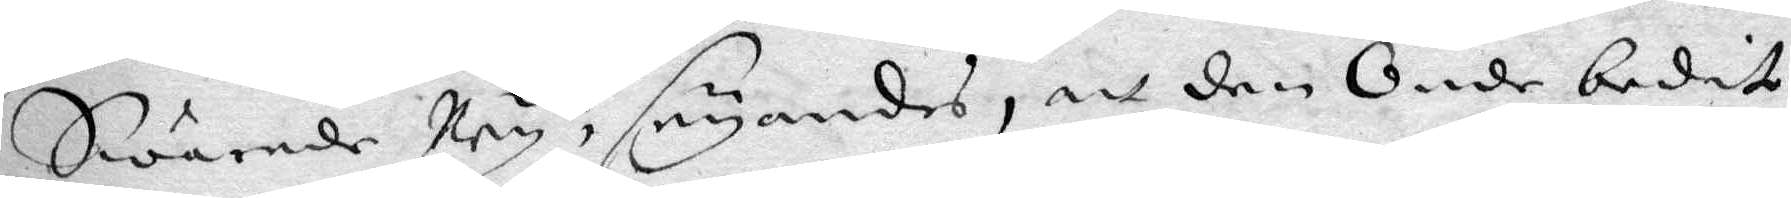Swarade Ney, seyandes, att den Onde bedit
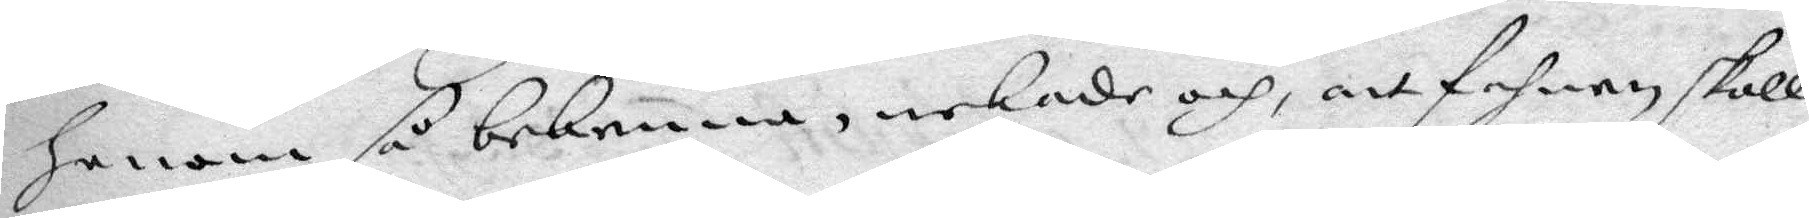honom så bekenna, nekade och, att Fahnen skall
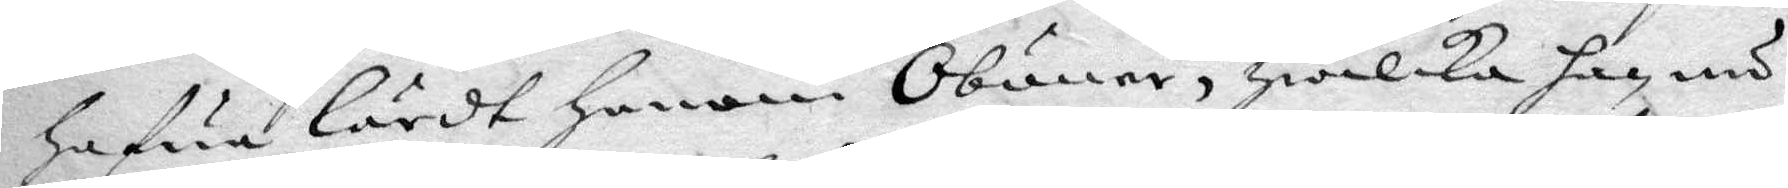hafua lärdt honom Oböner, hwilka han nu
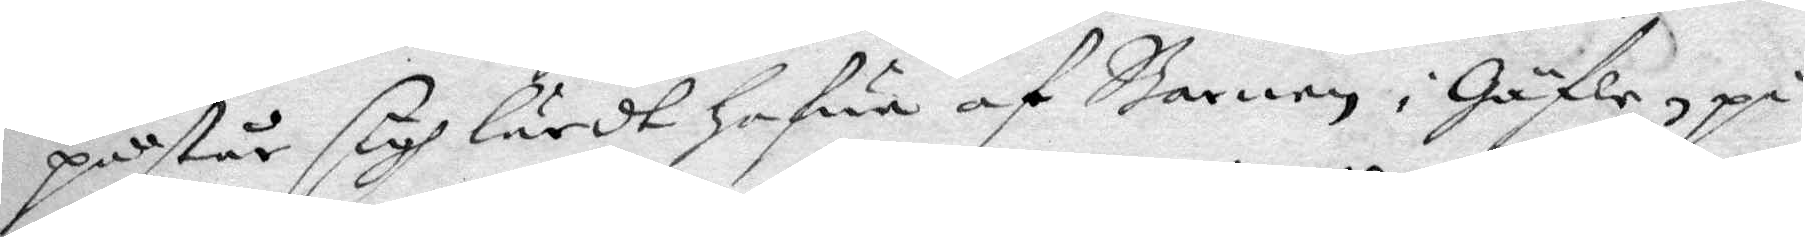påstår sigh lärdt hafwa af Barnen i Gäfle, på
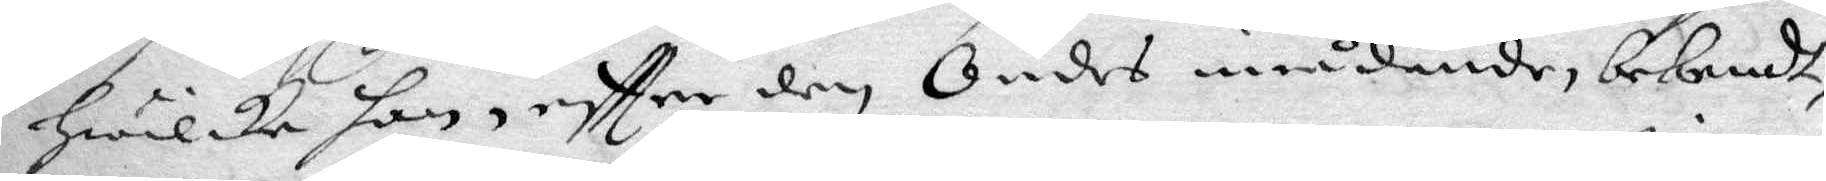hwilka han eftter den Ondes inrådande, bekendt,
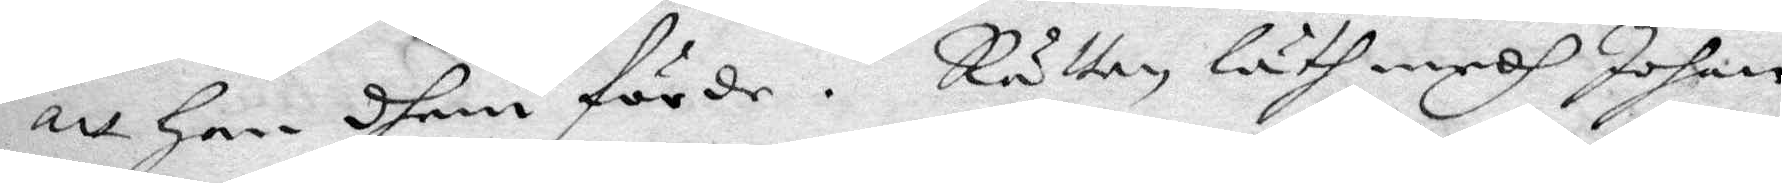att han dhem förde. Rätten läh medh Johan
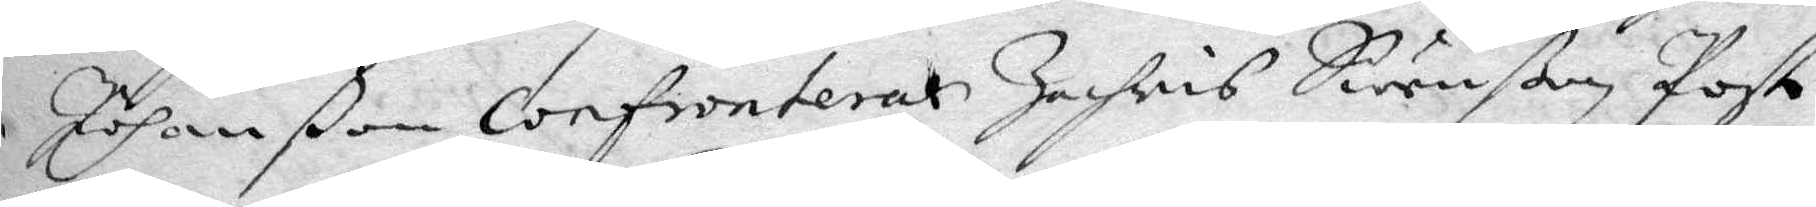Johanßon Confrontertachris Swenßon Poste
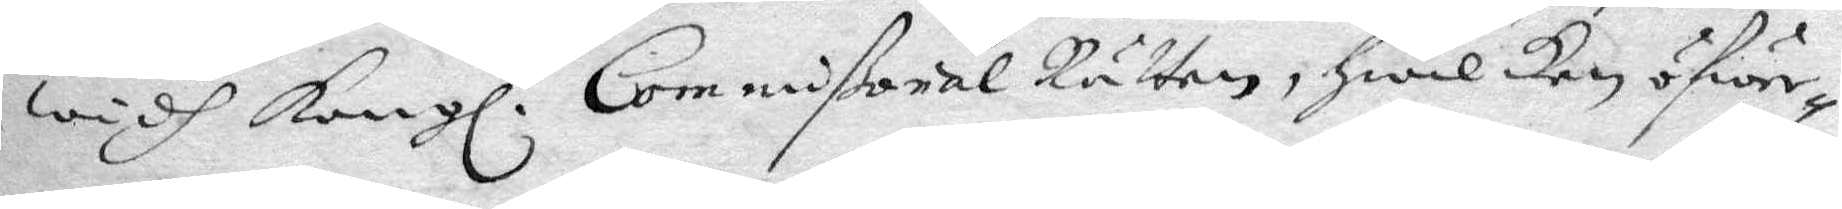widh Kongl. Commißorial Rätten, hwilken öfwer¬
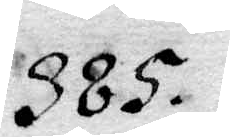385.
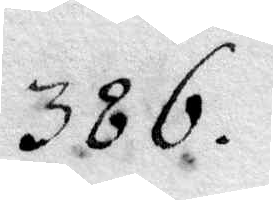386.
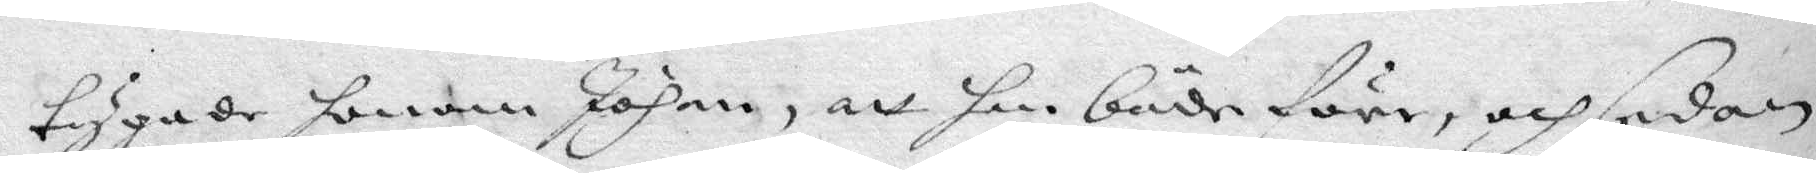tygade honom Johan, att han både före, och sedan
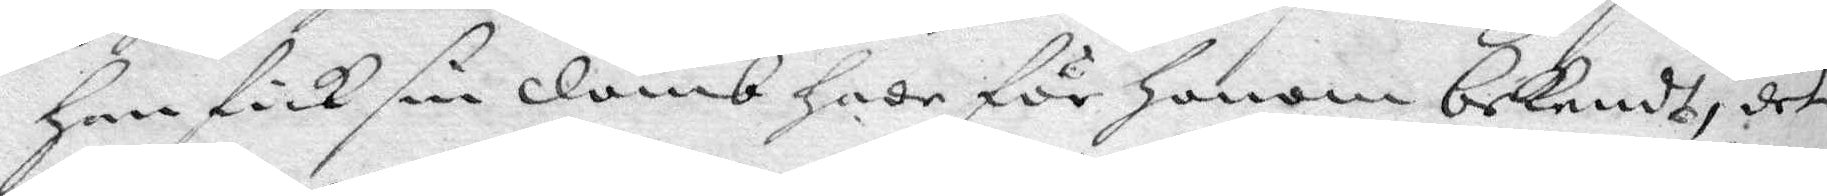han fick sin domb hade för honom bekendt, det
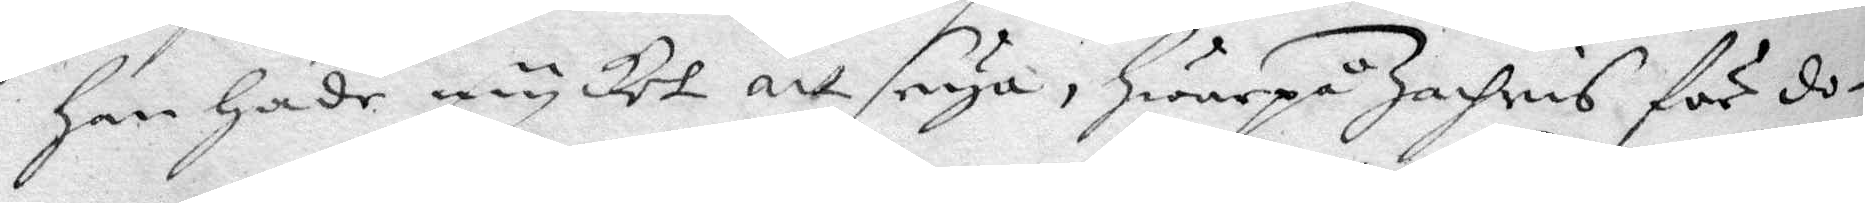han hade mycket att seya, hwarpå Zachris för do¬
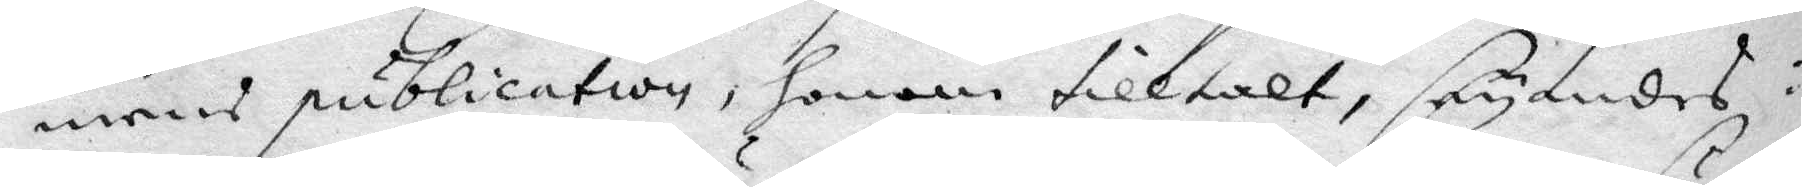mens publication, honom tilltalt, seyandes:
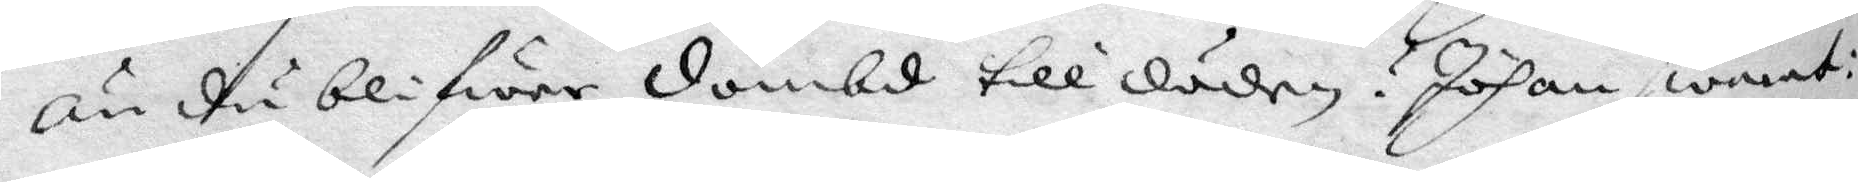än du blifwer dömbd till döden? Johan swarat:
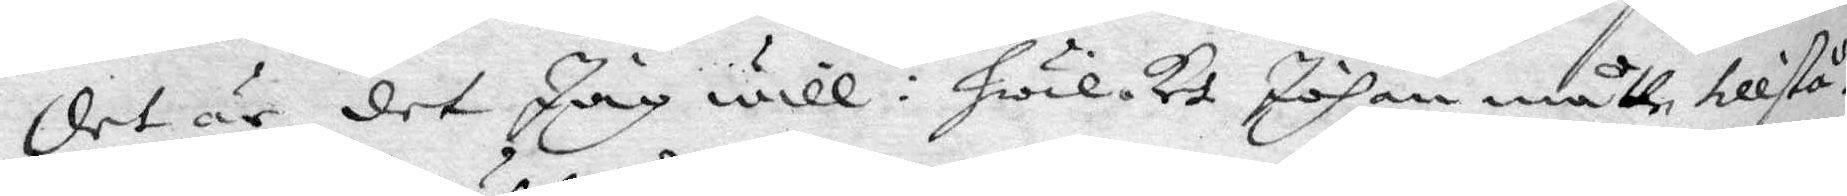det är det Jag will: hwilket Johan måtte tillstå.
